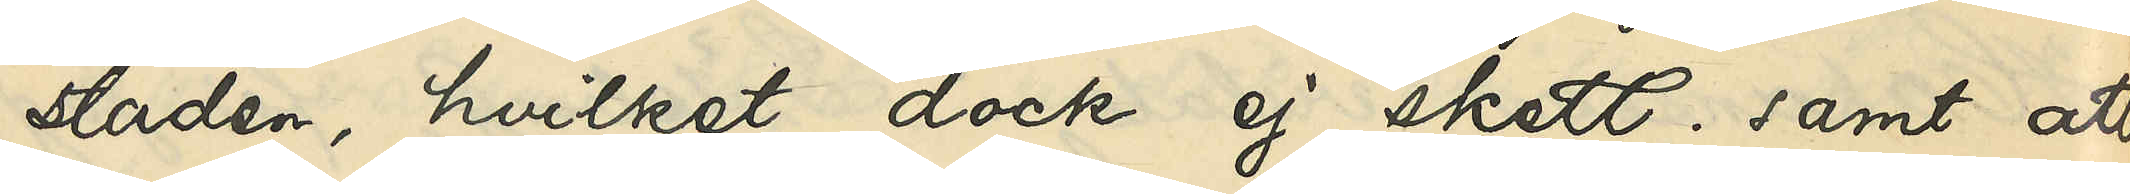staden, hvilket dock ej skett; samt att
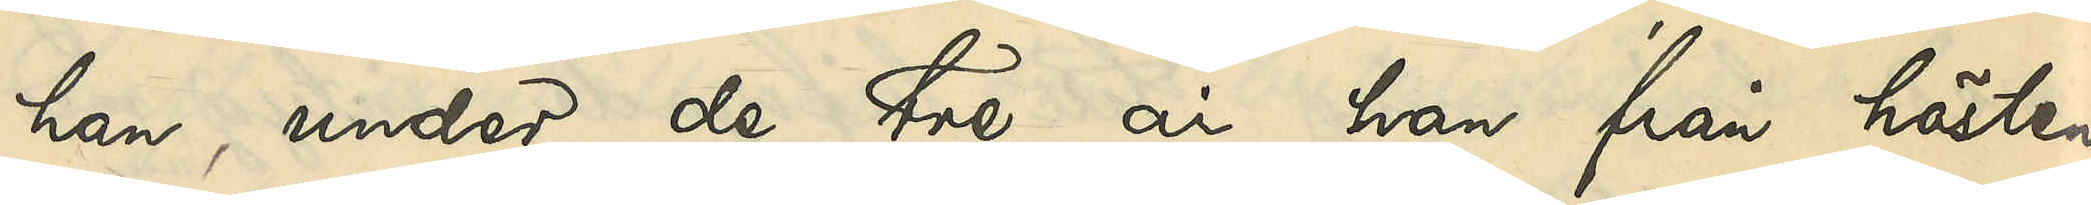han, under de tre år han från hösten
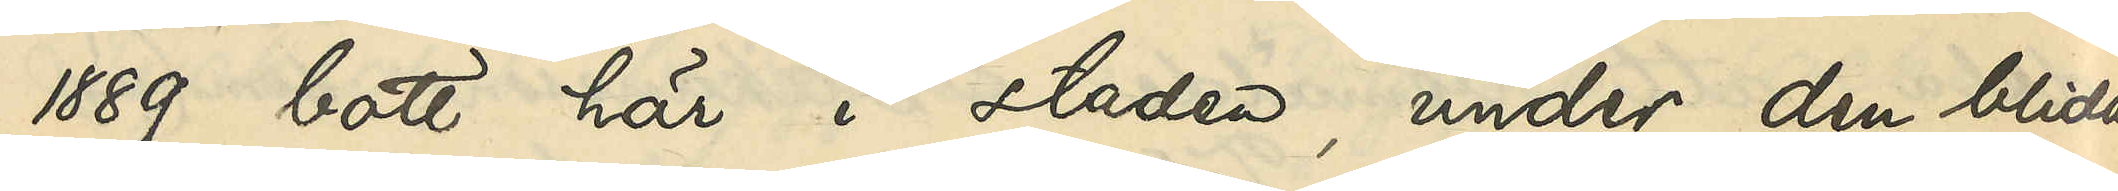1889 bott här i staden under den blida
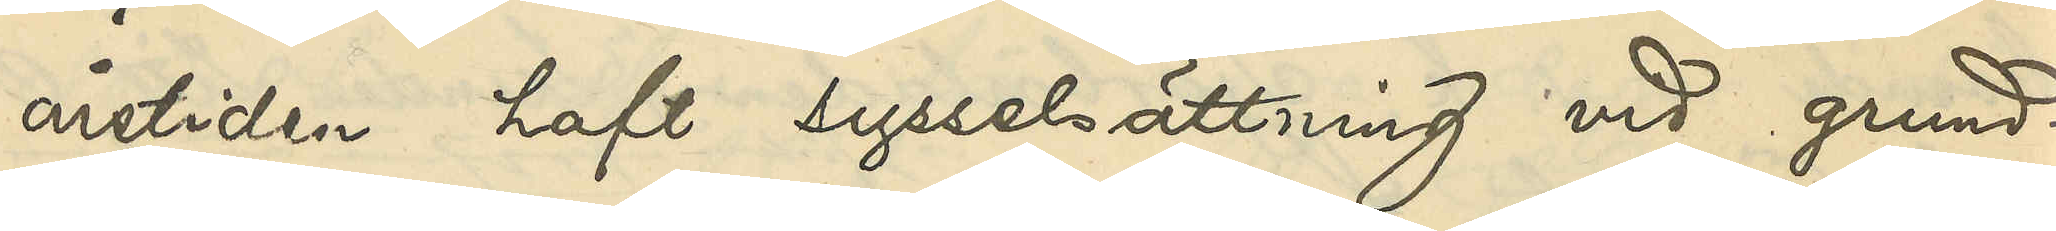årstiden haft sysselsättning vid grund¬
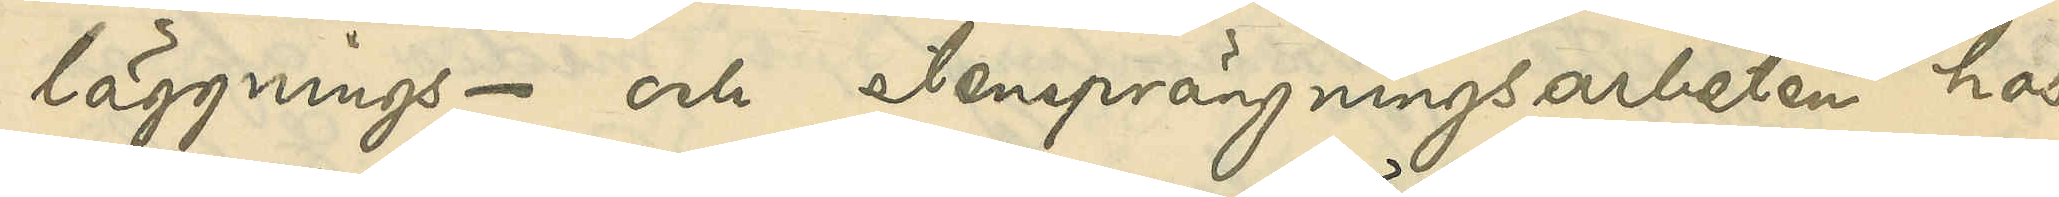läggnings- och stensprängningsarbeten hos
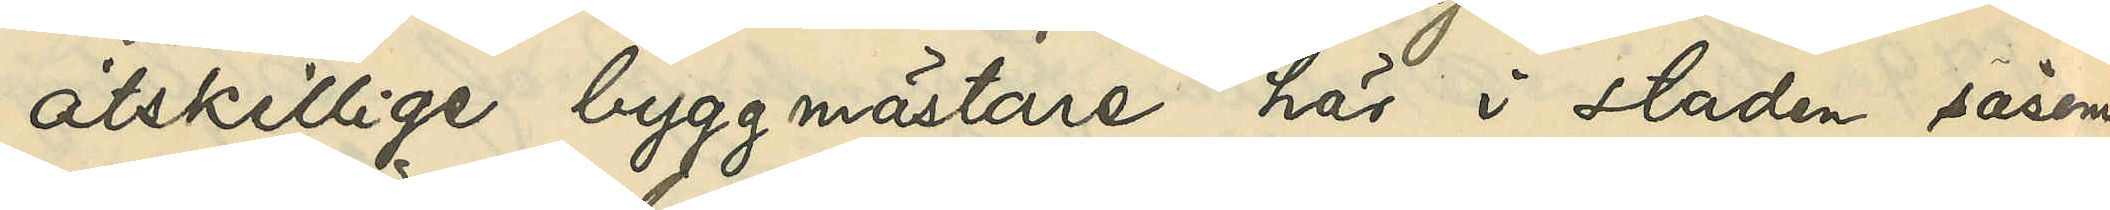åtskillige byggmästare här i staden såsom
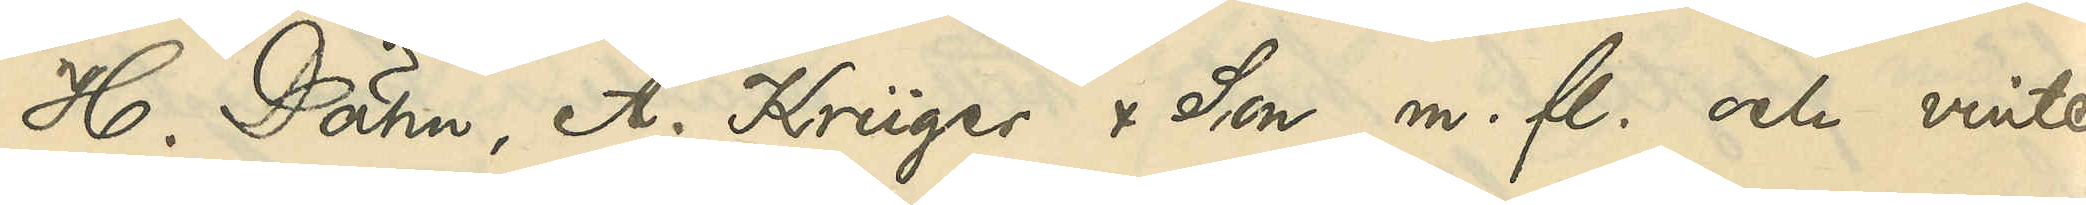H. Dähn, A. Krüger & Son m. fl. och vinter¬
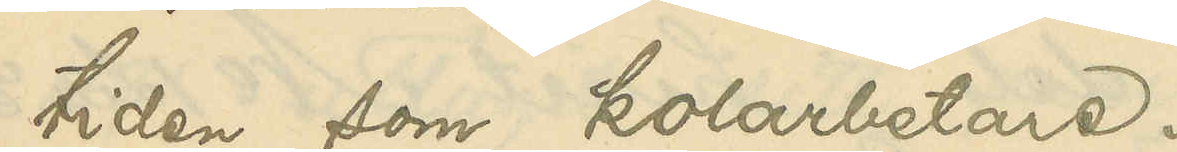tiden som kolarbetare.
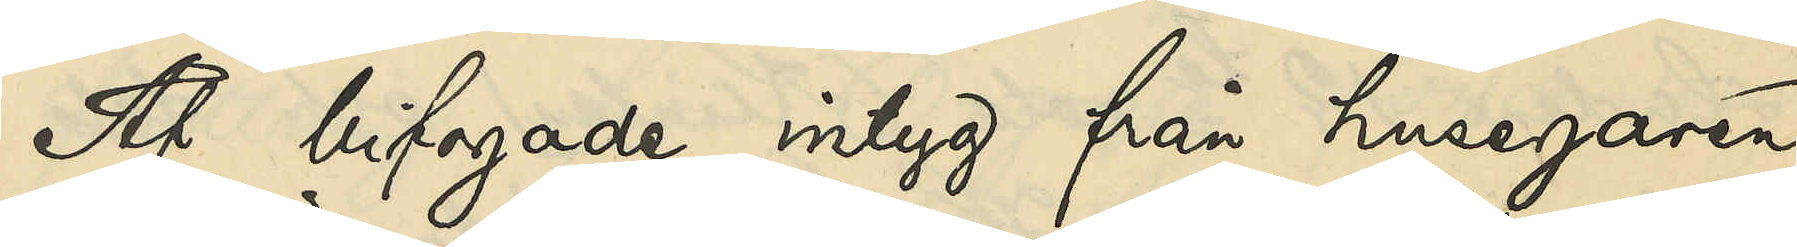Af bifogade intyg från husegaren
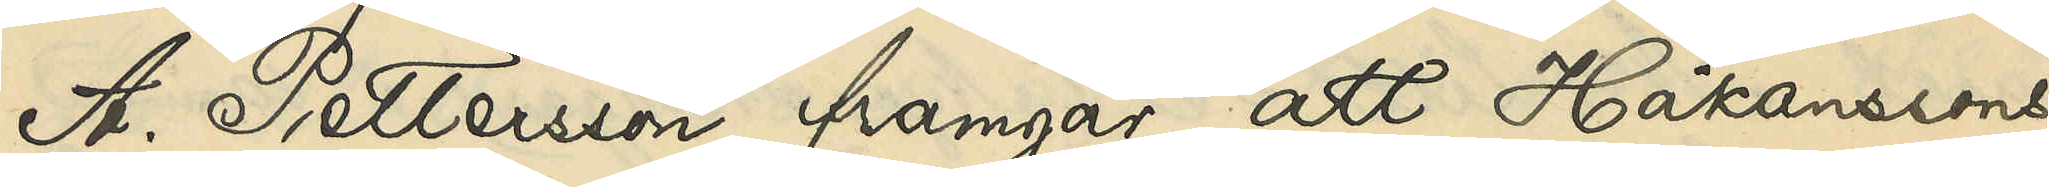A. Pettersson framgår, att Håkanssons
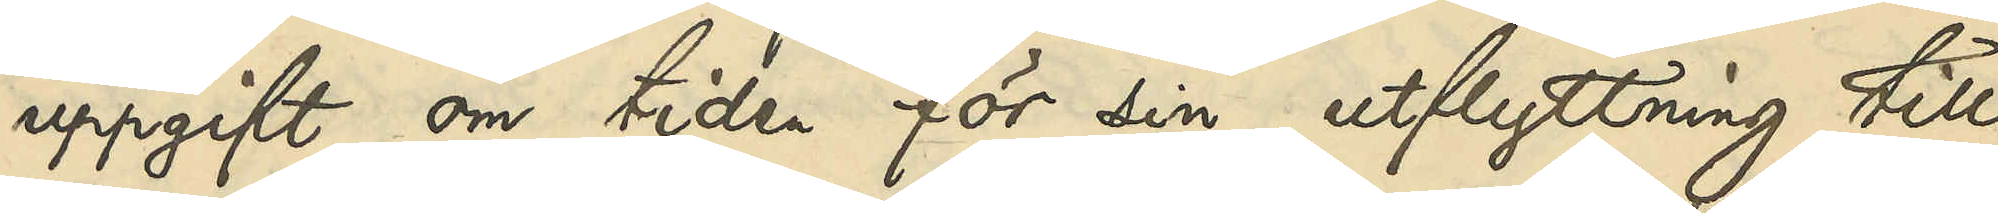uppgift om tiden för sin utflyttning till
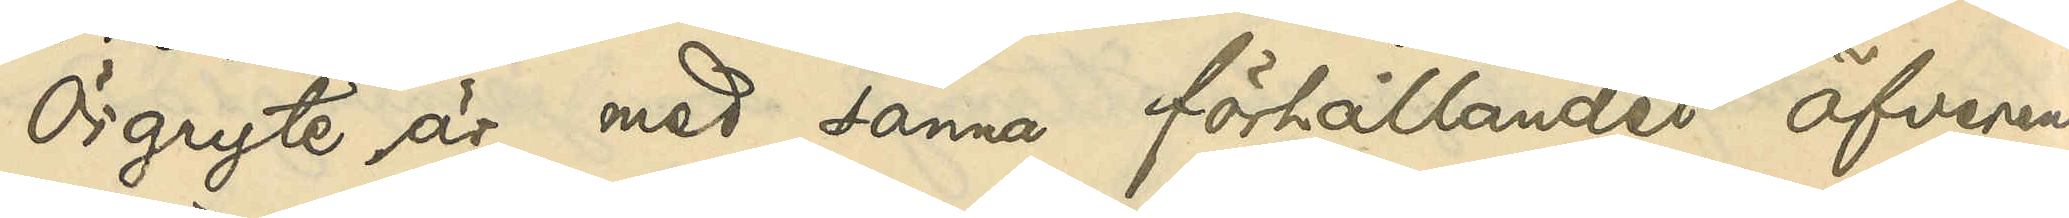Örgryte är med sanna förhållandet öfverens¬
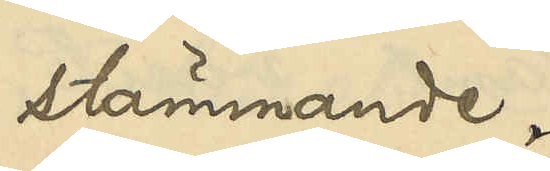stämmande.
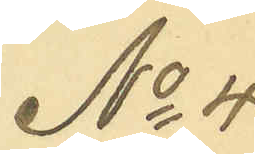No 4.
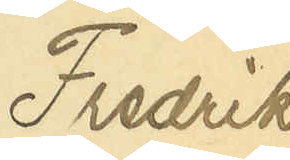Fredrik
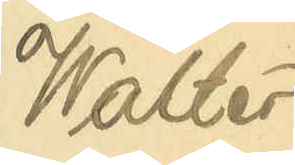Walter
